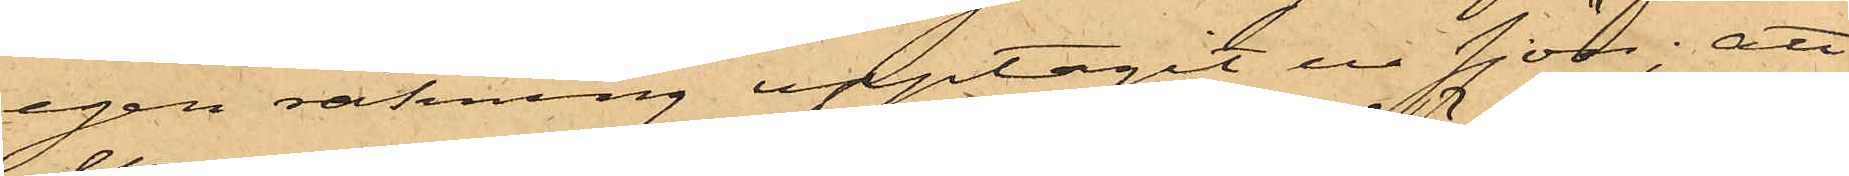egen räkning upptagit ur sjön; att
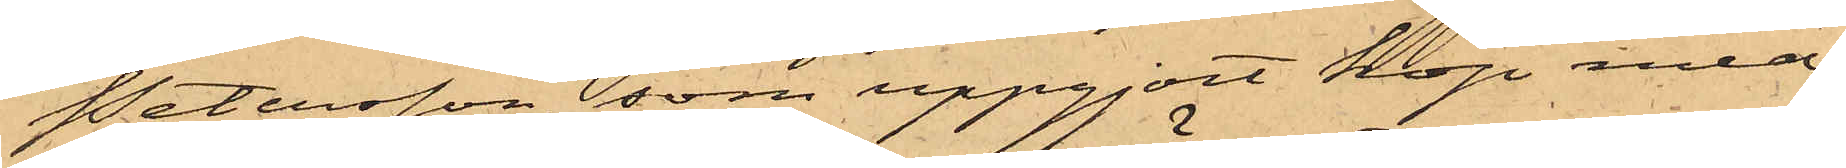Petersson, som uppgjort köp med
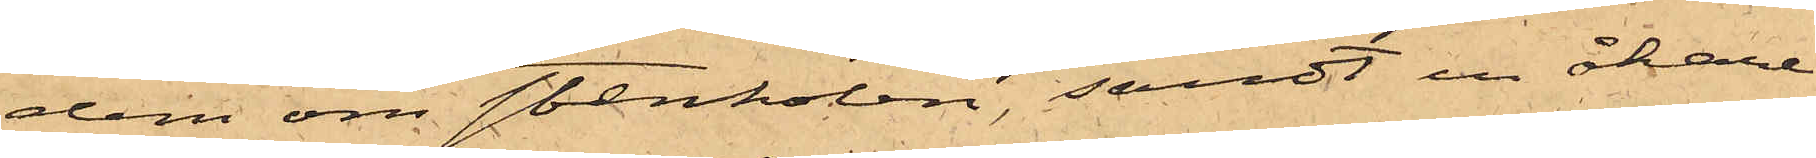dem om stenkolen, sändt en åkare
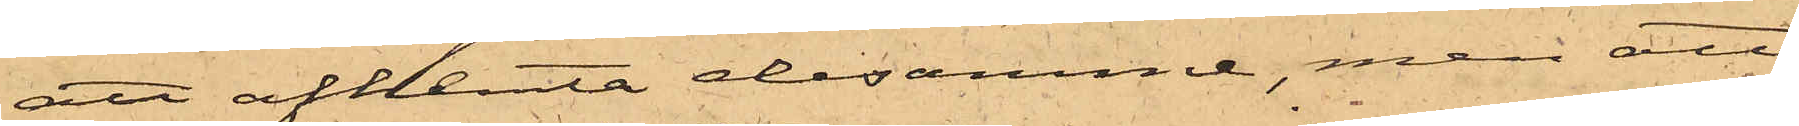att afhemta desamme, men att
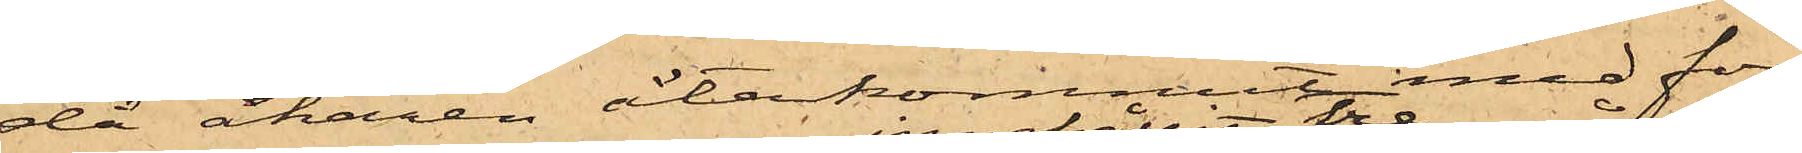då åkaren återkommit med för¬
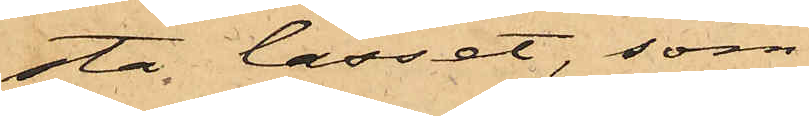sta lasset, som
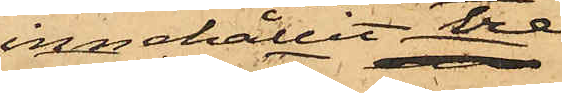innehållit tre
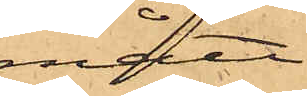mått,
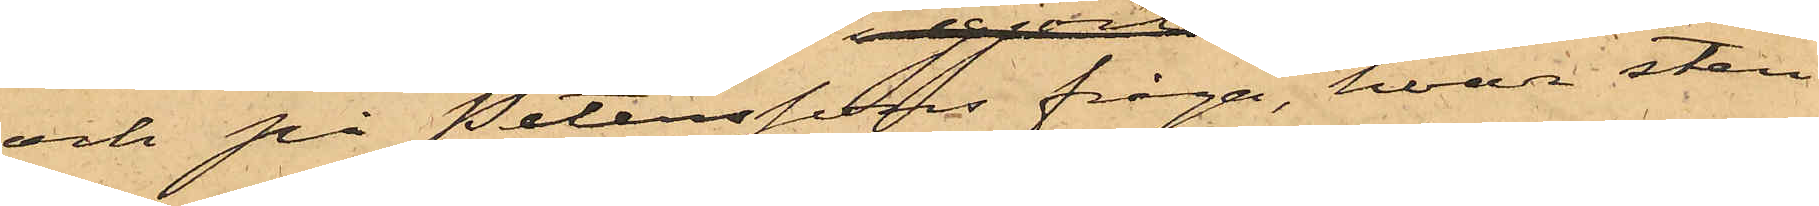och på Peterssons fråga, hvar sten¬
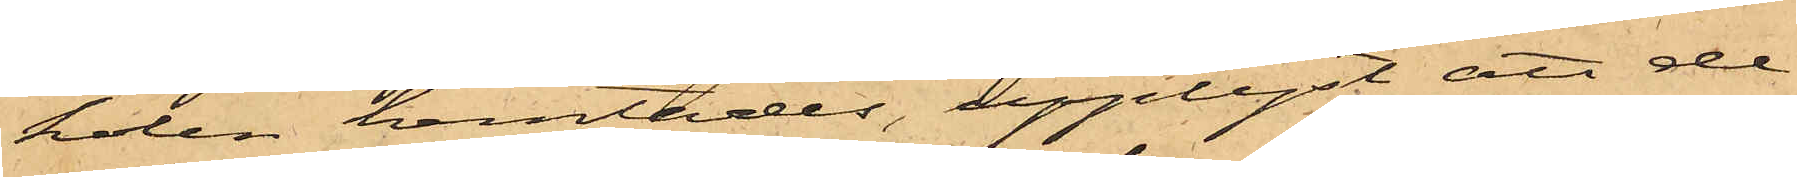kolen hemtades, upplyst, att de
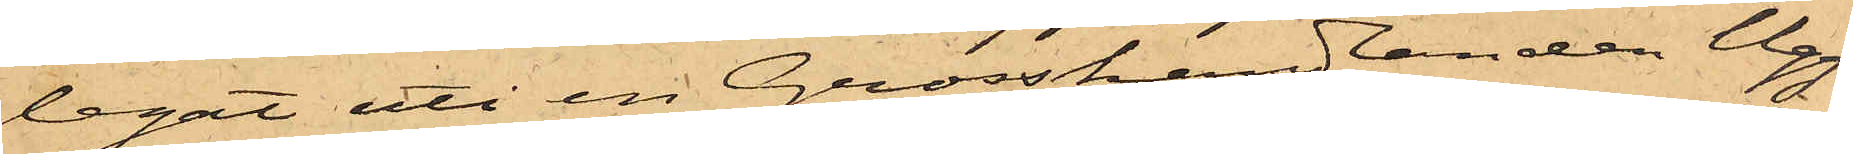legat uti en Grosshandlanden Ugg¬
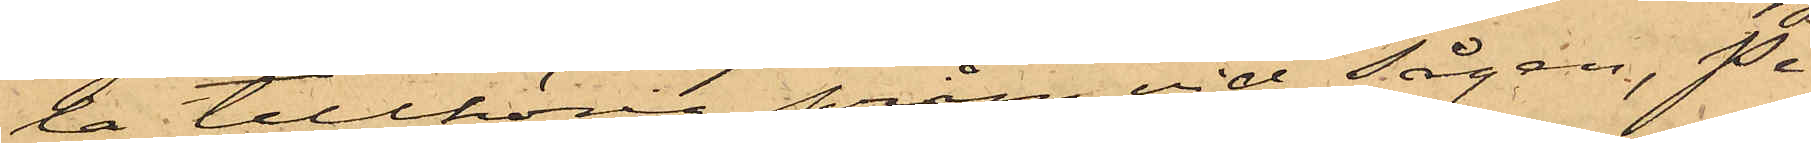la tillhörig pråm vid Sågen, Pe¬
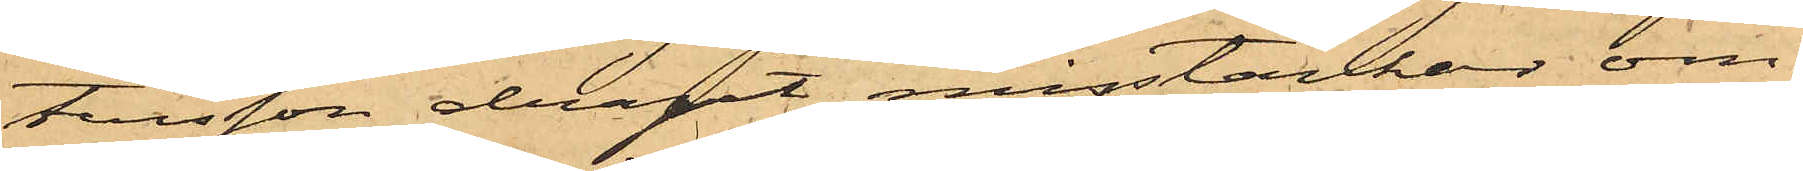tersson dragit misstankar om
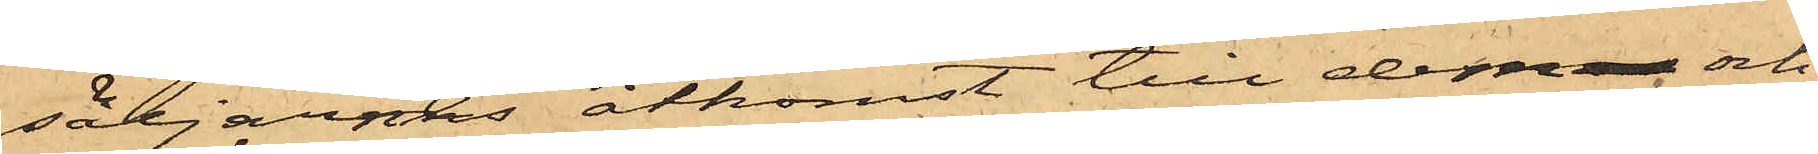säljarnes åtkomst till dem och
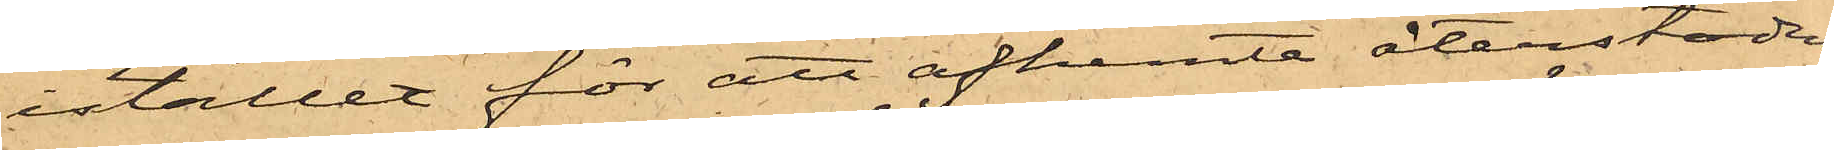istället för att afhemta återstoden
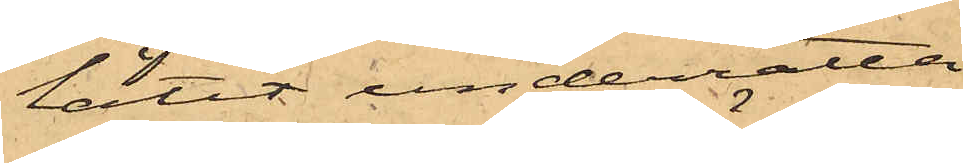låtit underrätta
